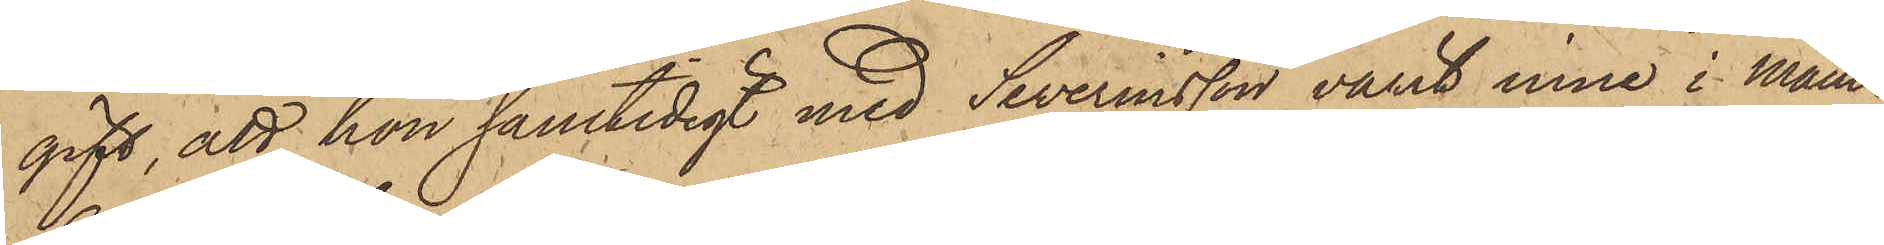gift, att hon samtidigt med Severinsson varit inne i Mam¬
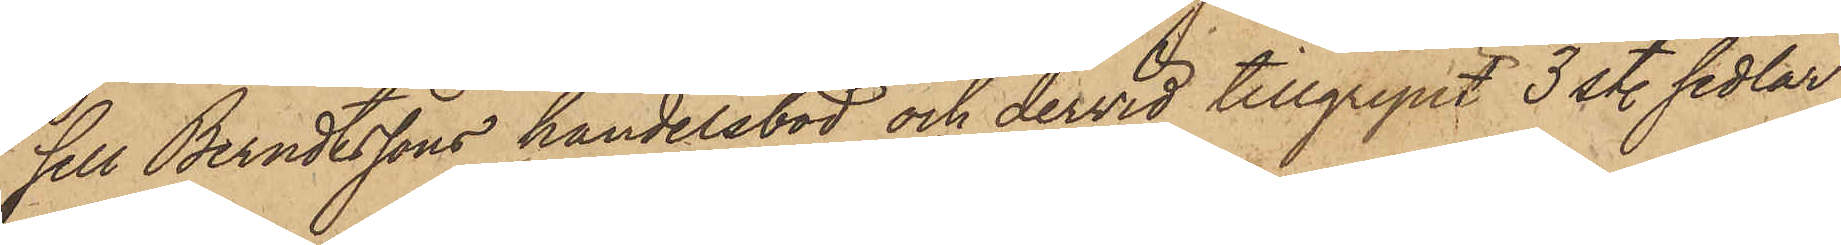sell Berndtssons handelsbod och dervid tillgripit 3 st. sedlar
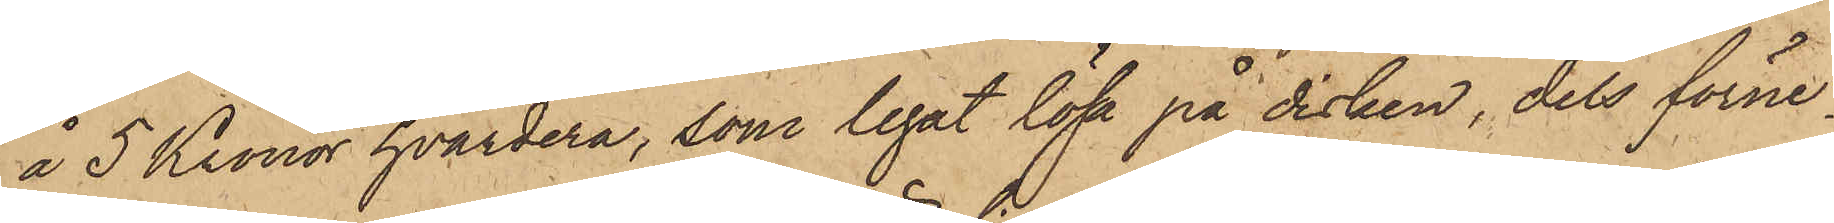å 5 Kronor hvardera, som legat lösa på disken, dels förne¬
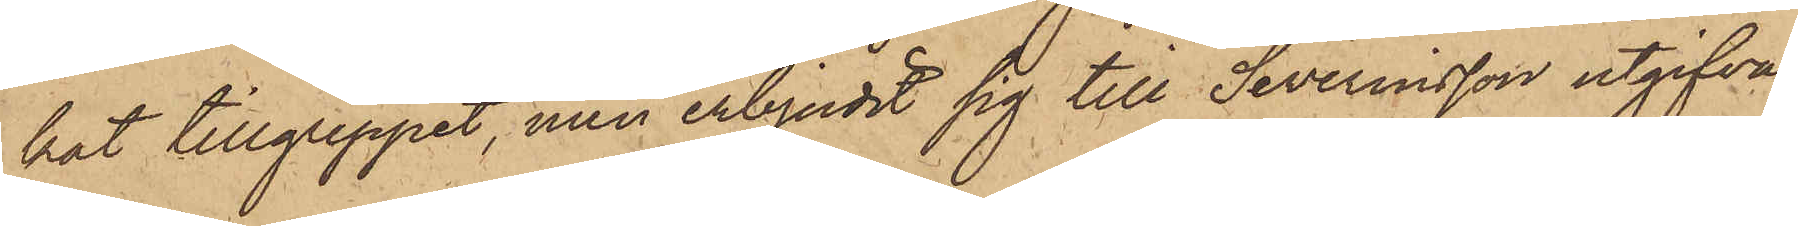kat tillgreppet, men erbjudit sig till Severinsson utgifva
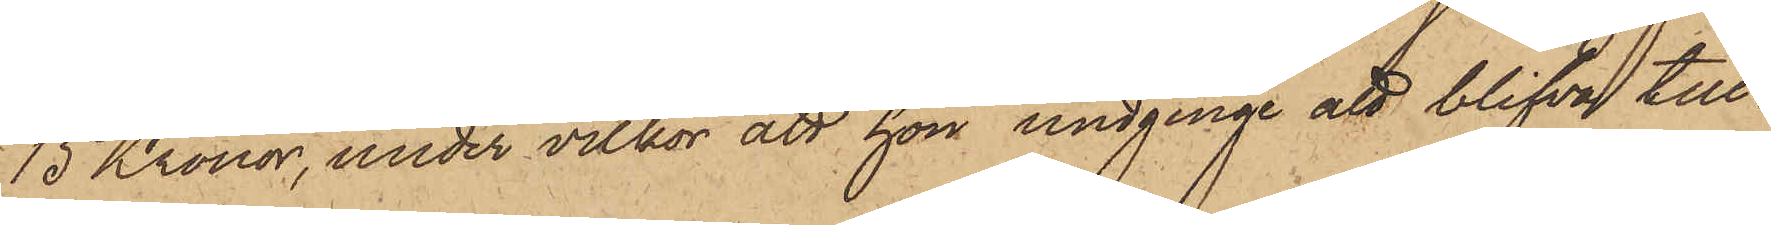15 Kronor, under villkor att hon undginge att blifva till¬
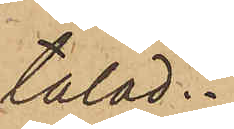talad.
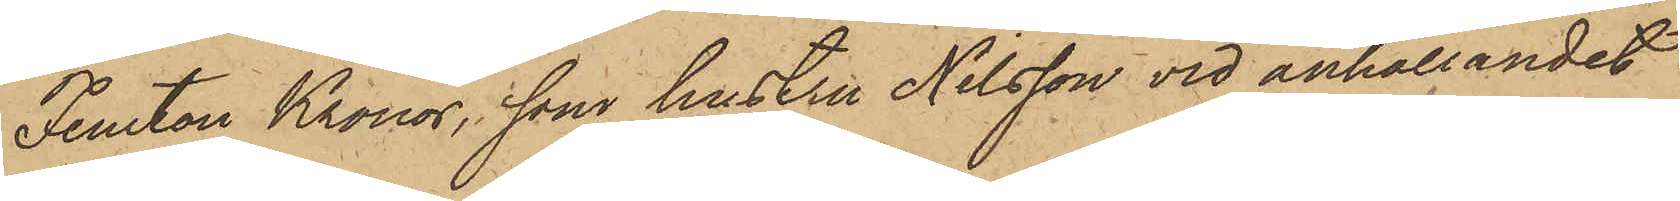Femton Kronor, som hustru Nilsson vid anhållandet
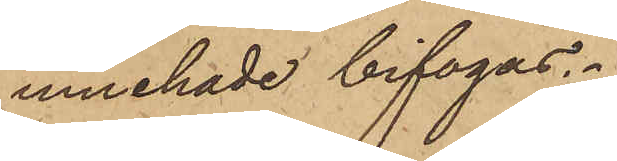innehade bifogas.
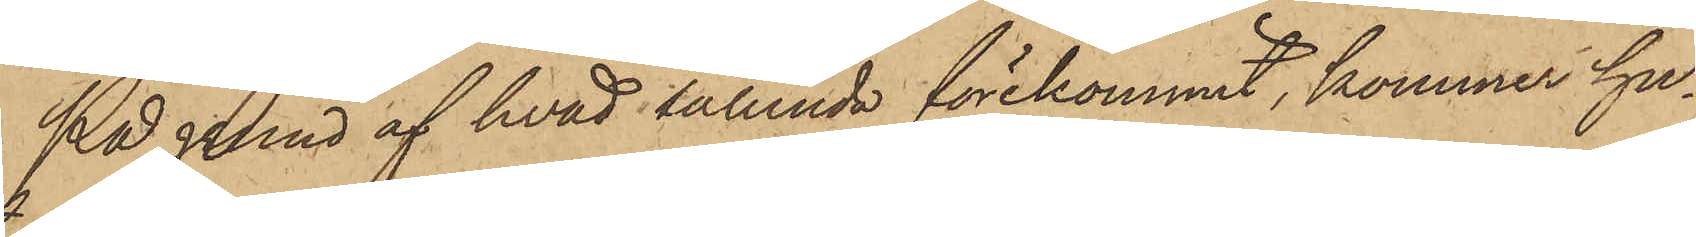På grund af hvad sålunda förekommit, kommer hu¬
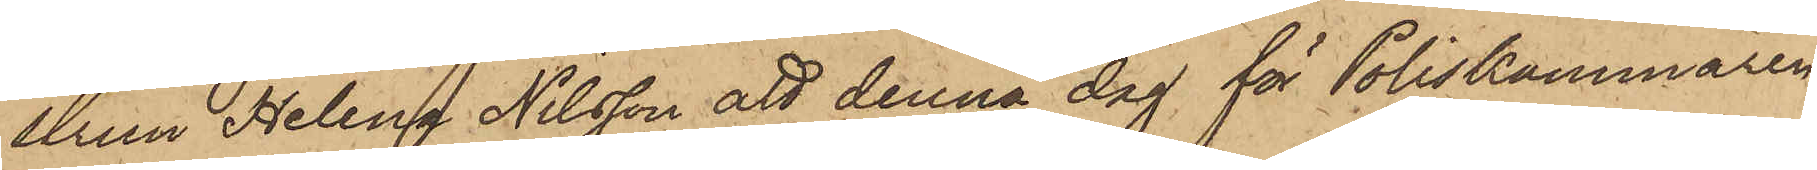strun Helena Nilsson att denna dag för Poliskammaren
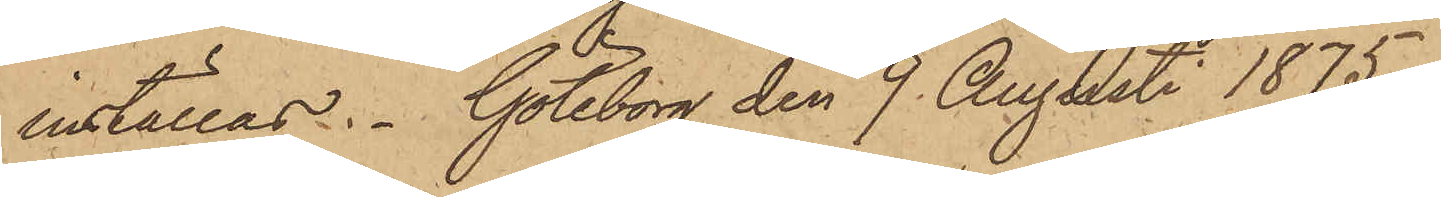inställas. Göteborg den 9 Augusti 1875.
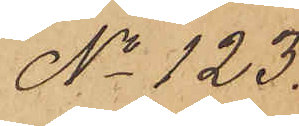No 123.
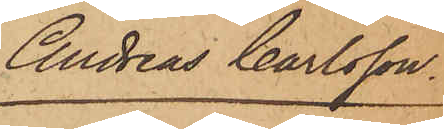Andreas Carlsson.
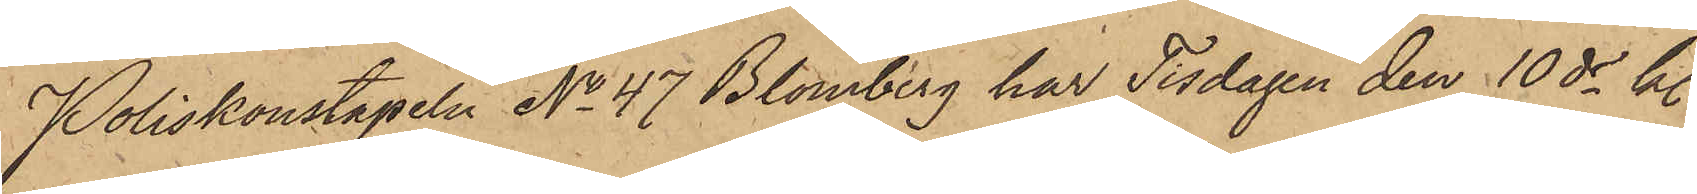Poliskonstapeln No 47 Blomberg har Tisdagen den 10 ds kl.
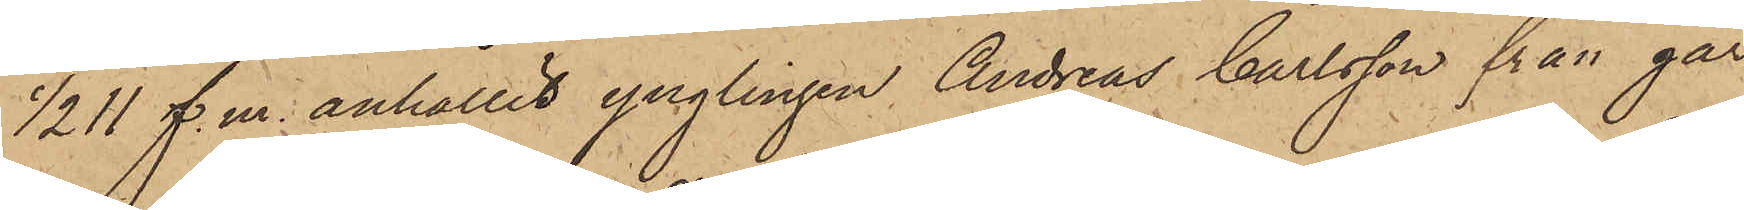1/2 11 f. m. anhållit ynglingen Andreas Carlsson från går¬
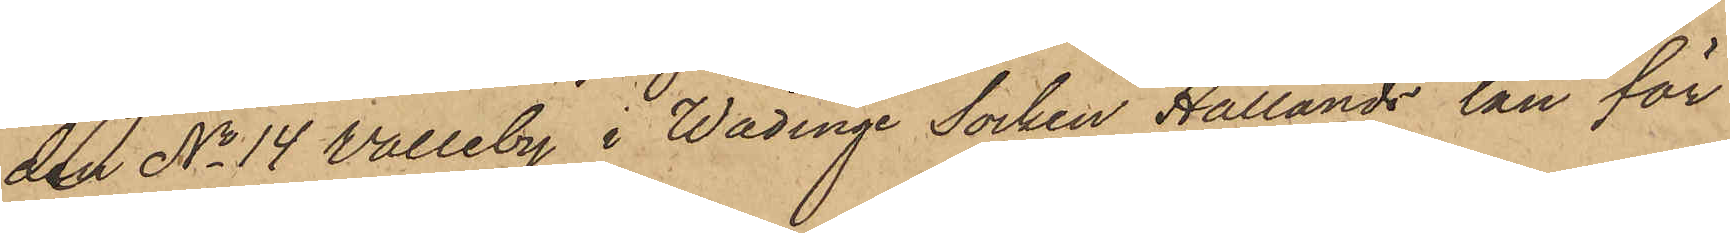den No 14 Valleby i Wädinge Socken Hallands län för
